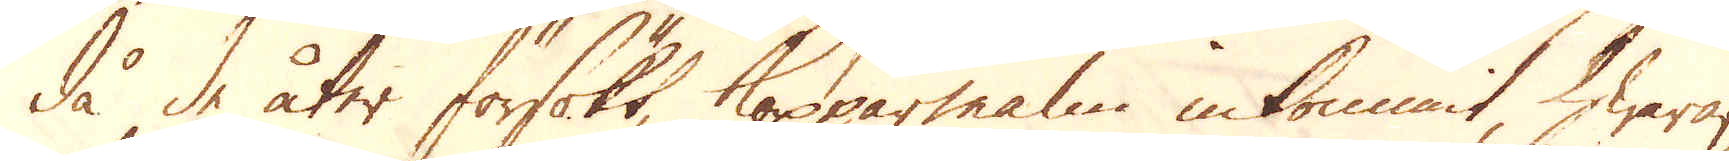då de åter försökt, Kopparmalm inkommit, hwaraf
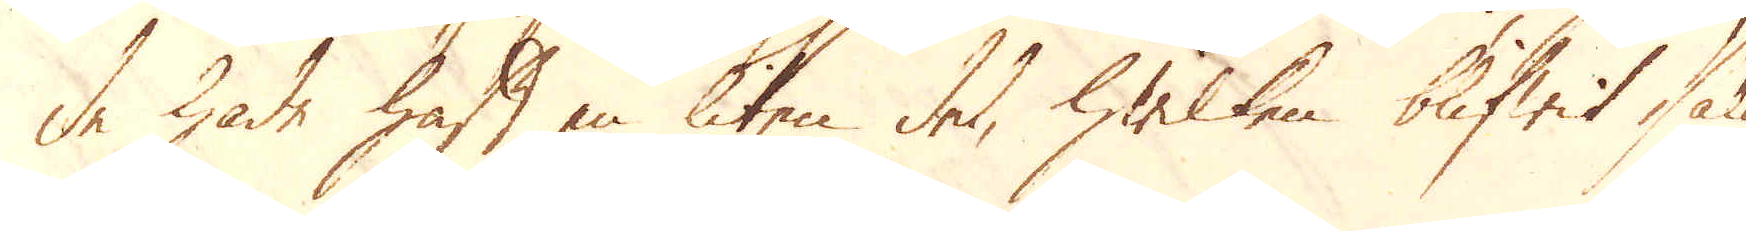de hade haft en liten del, hwilken blifwit så
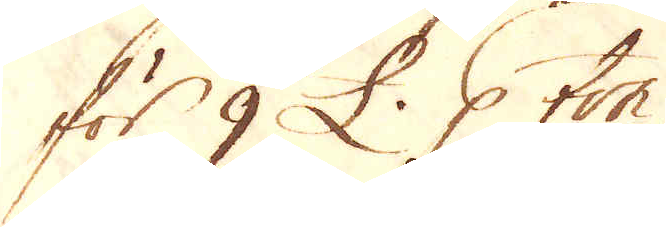för 9 £. p ton.
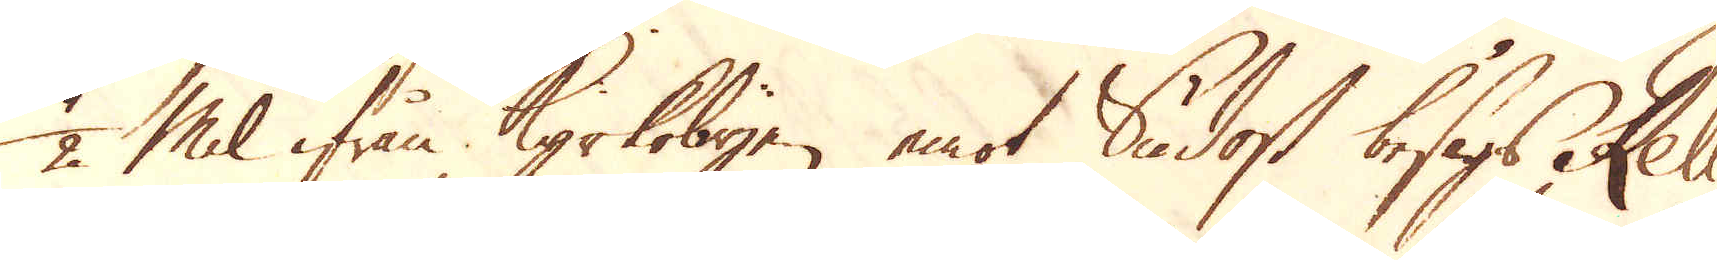1/2 Mil ifrån Kyrkobyen emot Sudost besågs Reli-
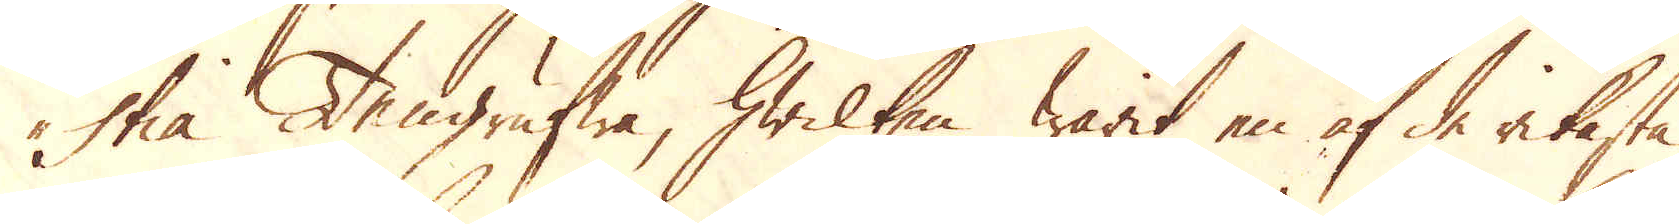stia Tengrufwa, hwilken warit en af de rikaste
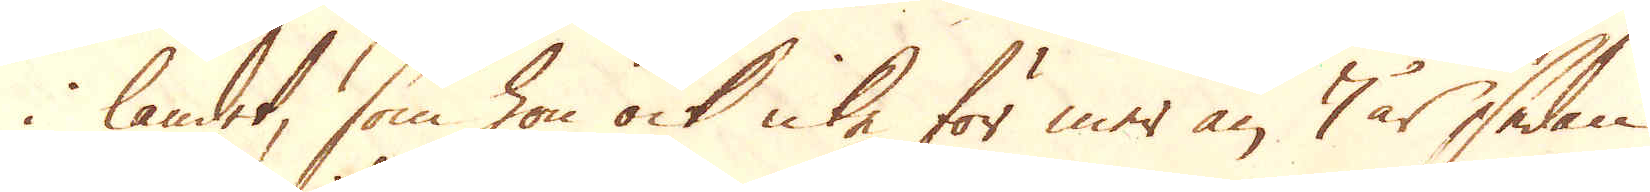i landet, som hon ock icke för mer än 7 år sedan
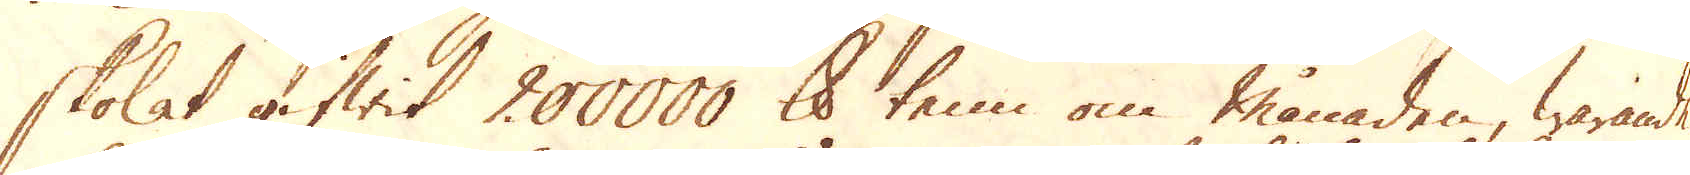skolat gifwit 200000 skålpund tenn om månaden, warande
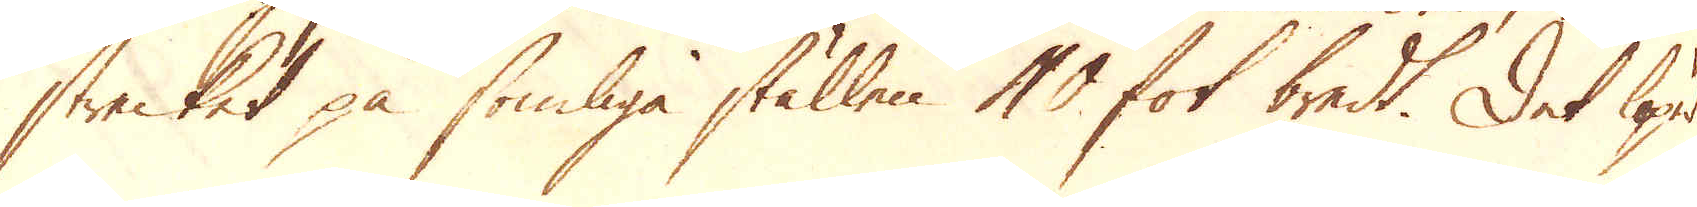strecket på somliga ställen 40 fot bredt. Det löper
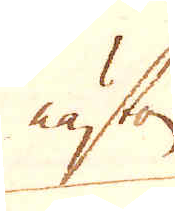nästan
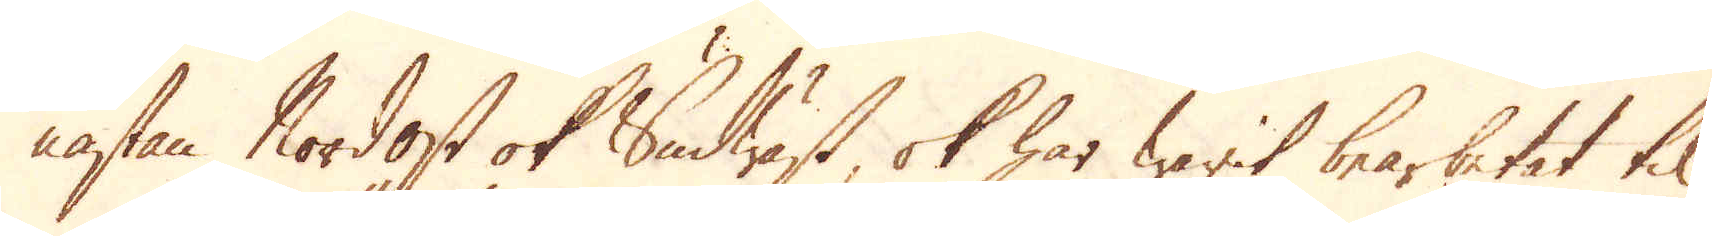nästan Nordost ok Sudwäst, ok har warit bearbetat til
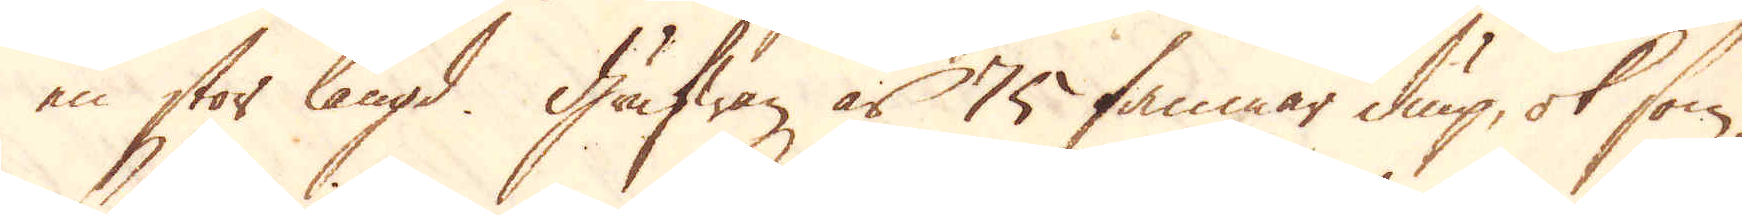en stor längd. Grufwan är 75 famnar diup, ok som
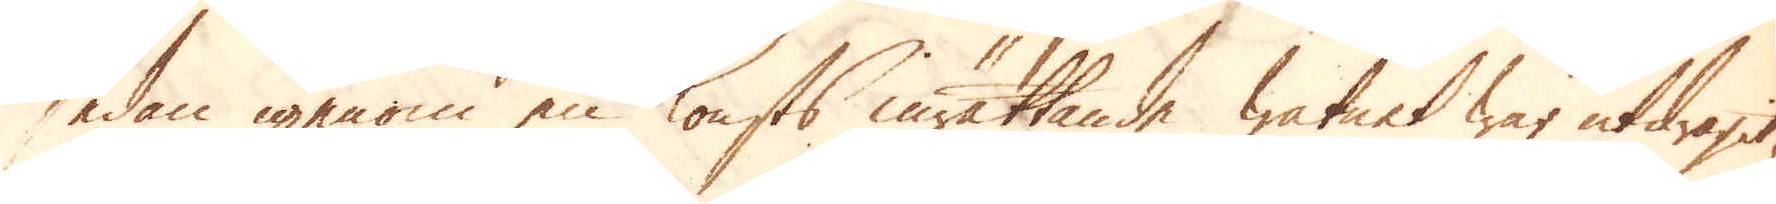sedan igenom en konsts inrättande watnet war utdragit,
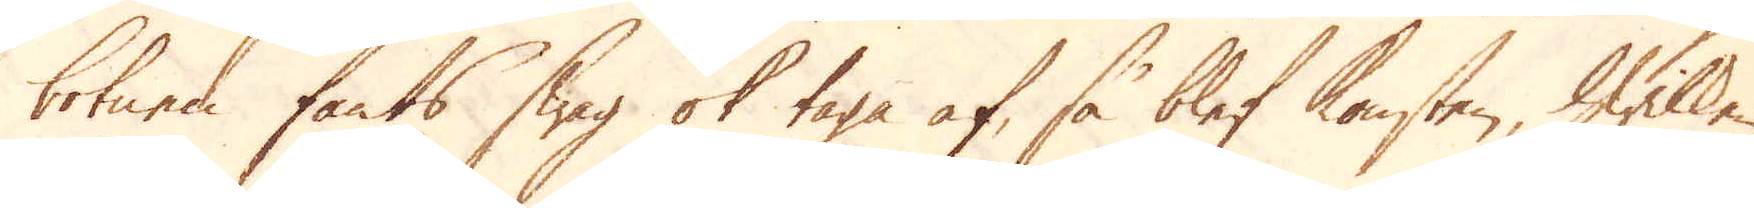botnen fants swag ok taga af, så blef konsten, hwilken
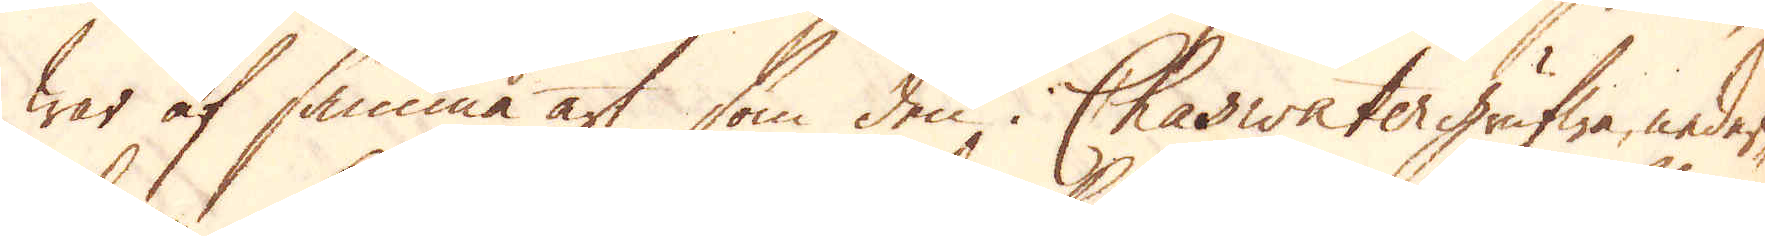war af samma art som den i Chaswater grufwa, neder-
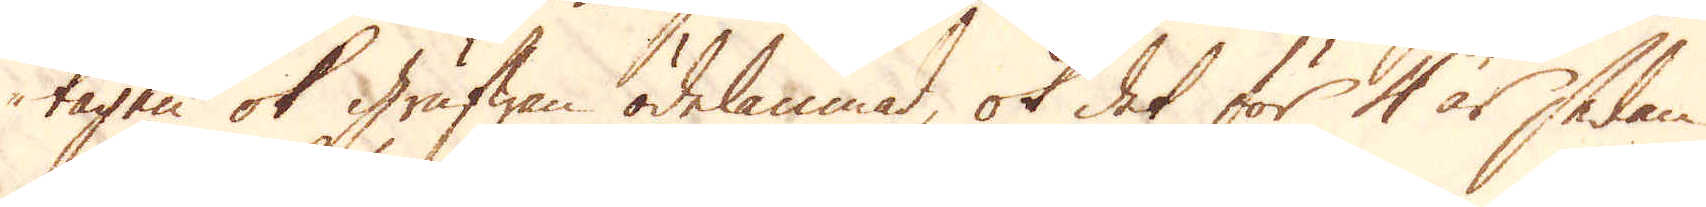tagen ok grufwan ödelämnad, ok det för 4 år sedan
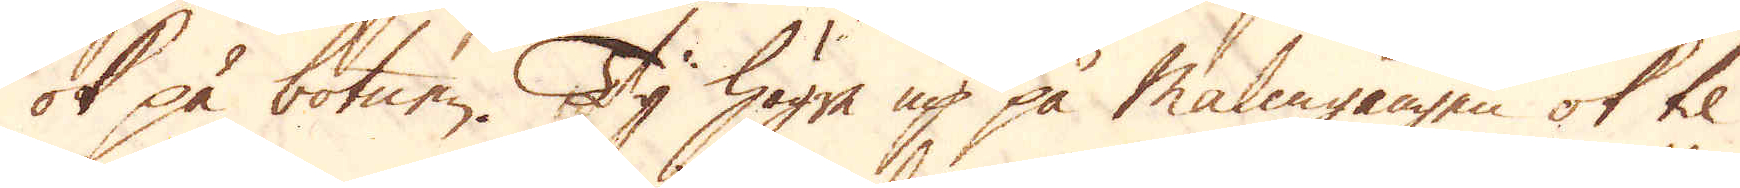ok på botnen. Ty högre up på Malmgången ok til
